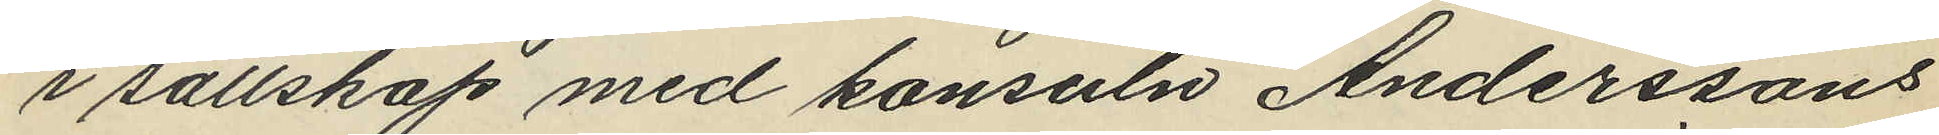i sällskap med konsuln Anderssons
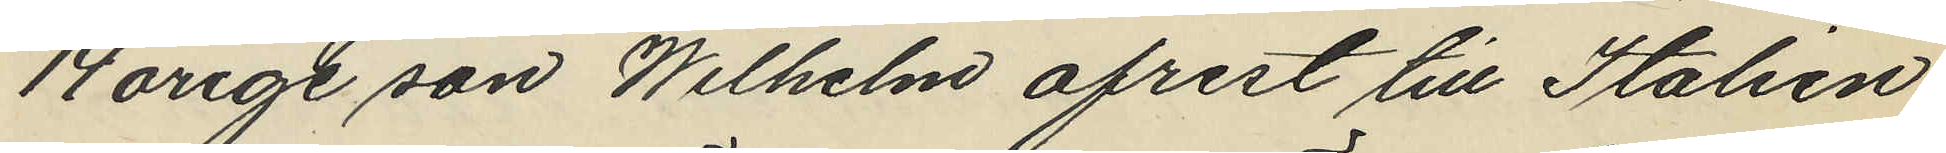14 årige son Wilhelm afrest till Italien
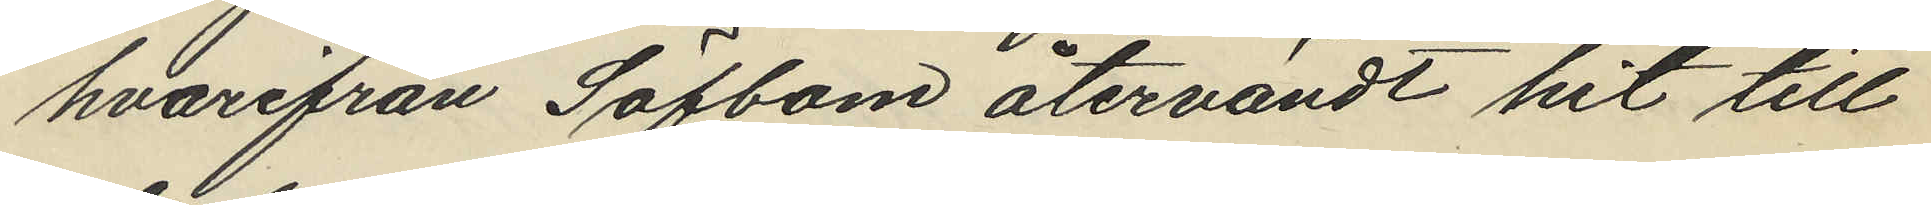hvarifrån Säfbom återvändt hit till
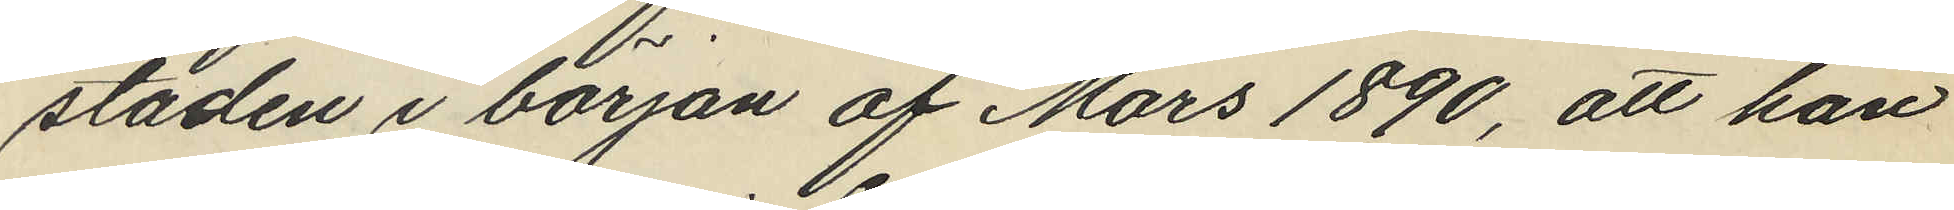staden i början af Mars 1890, att han
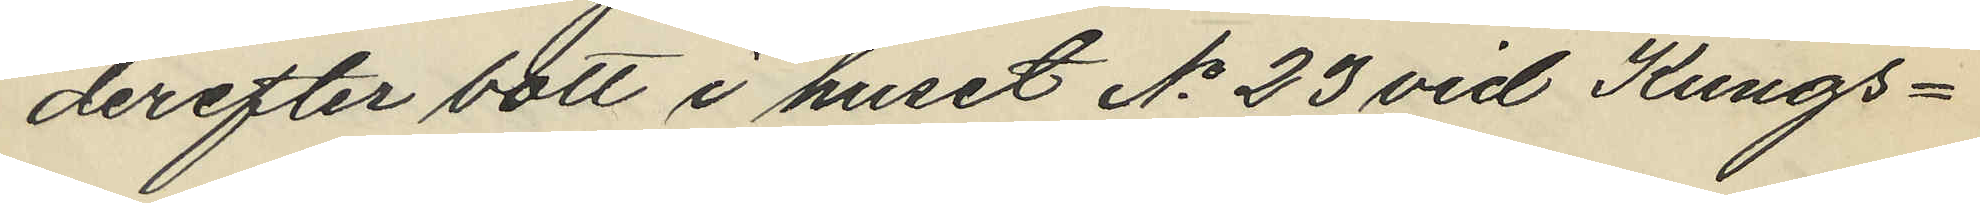derefter bott i huset No 23 vid Kungs¬
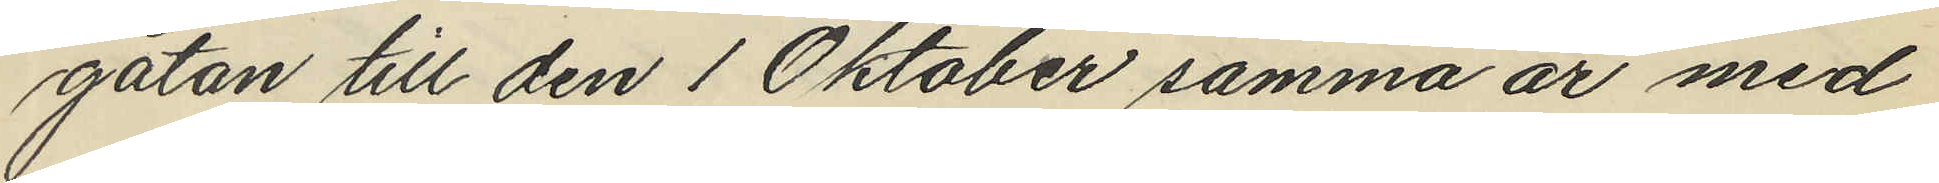gatan till den 1 Oktober samma år med
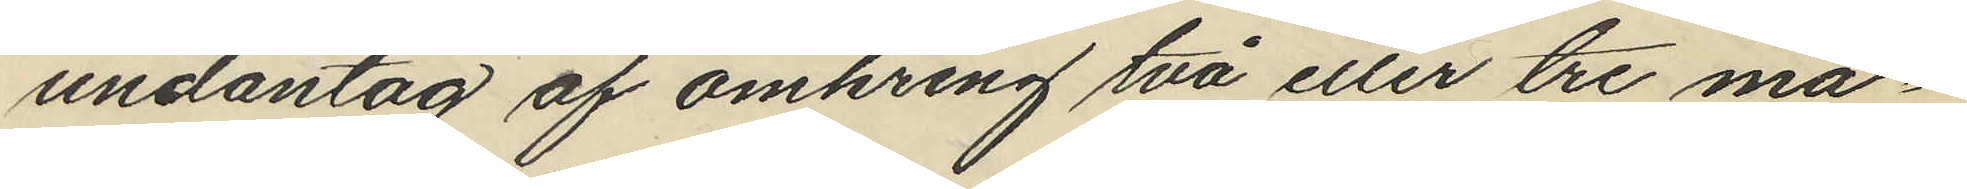undantag af omkring två eller tre må¬
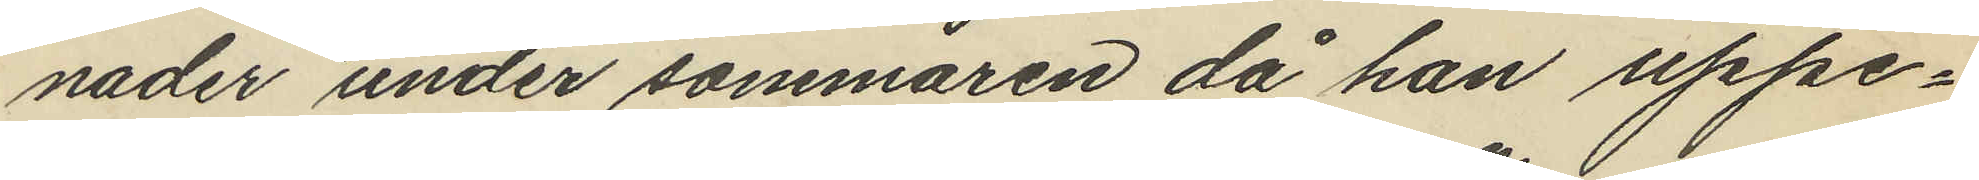nader under sommaren då han uppe¬
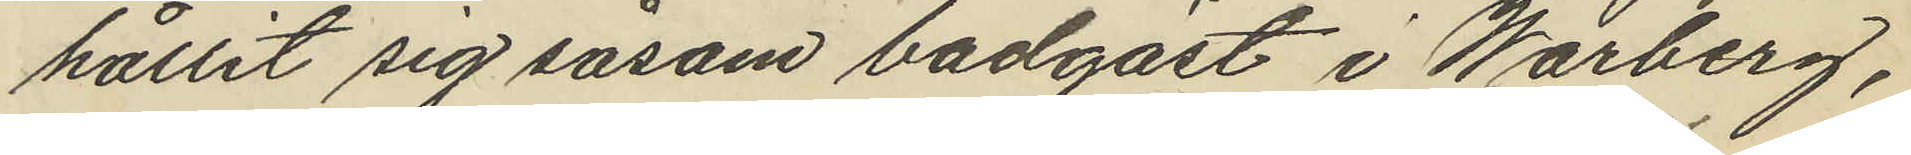hållit sig såsom badgäst i Warberg,
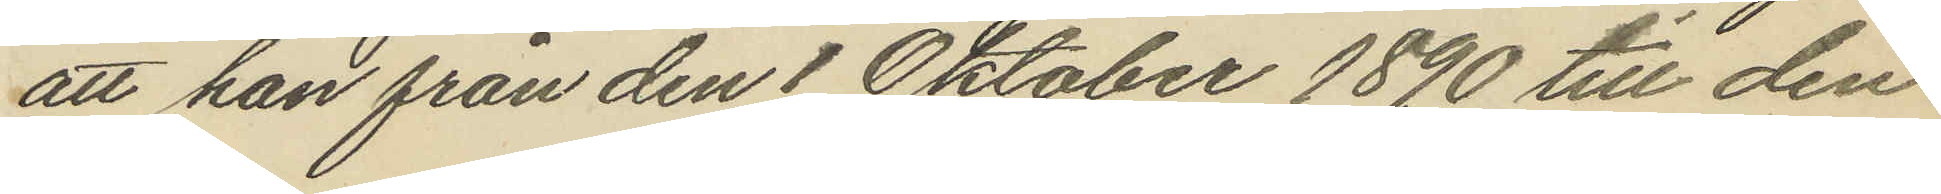att han från den 1 Oktober 1890 till den
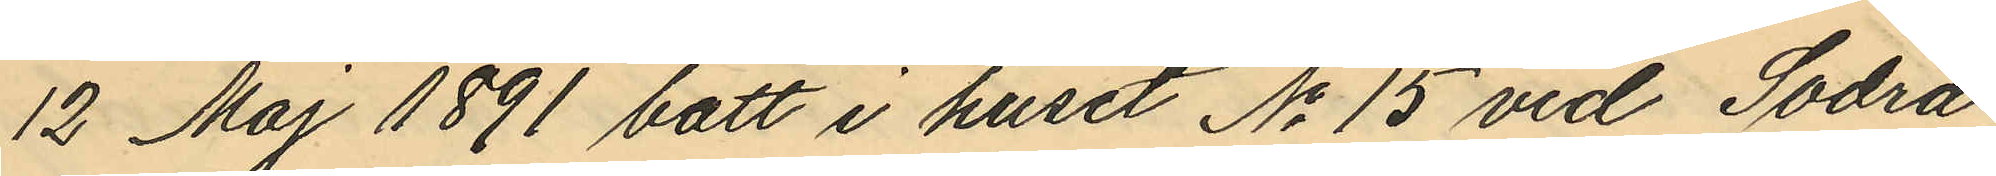12 Maj 1891 bott i huset No 15 vid Södra
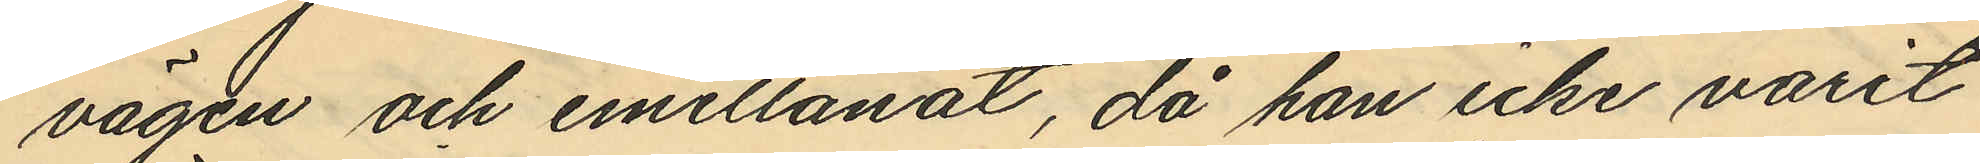vägen och emellanåt, då han icke varit
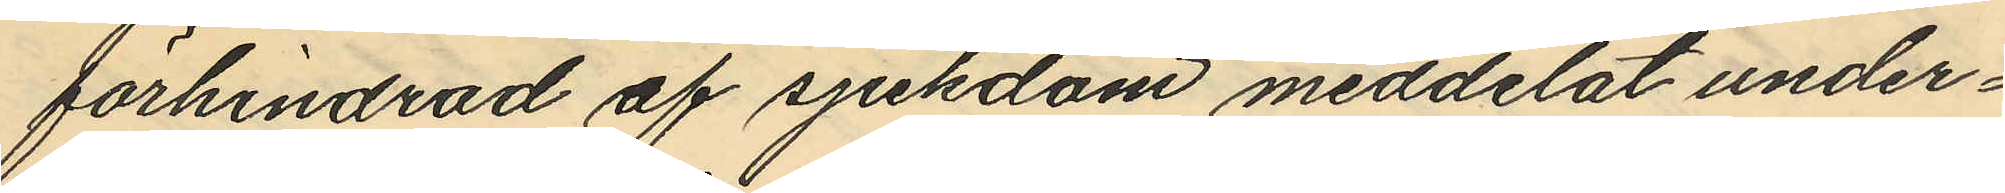förhindrad af sjukdom meddelat under¬
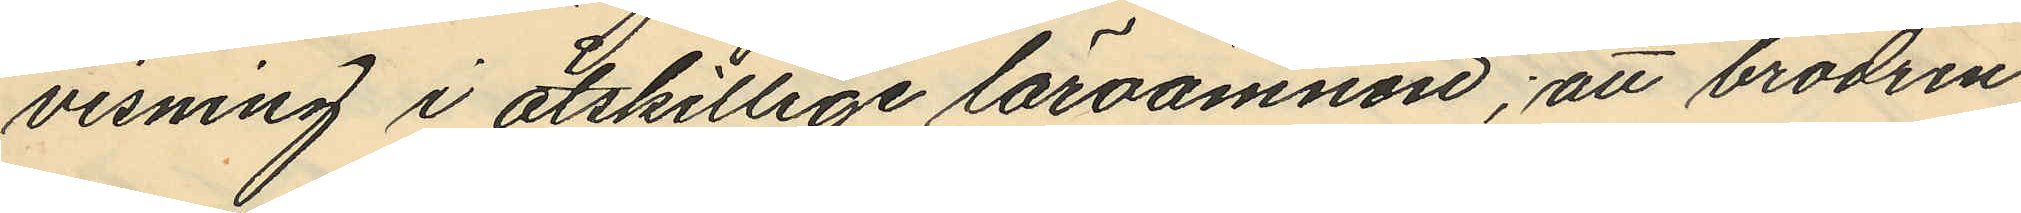visning i åtskillige läroämnen; att brodren
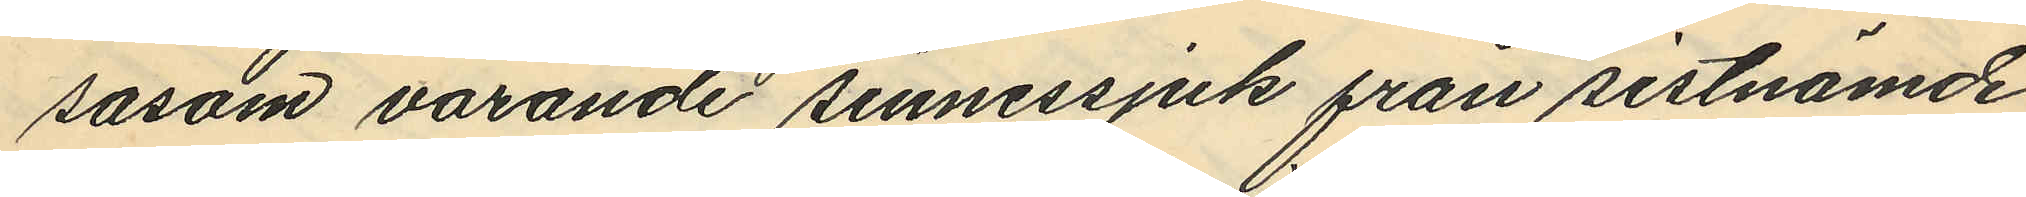sasom varande sinnessjuk från sistnämde
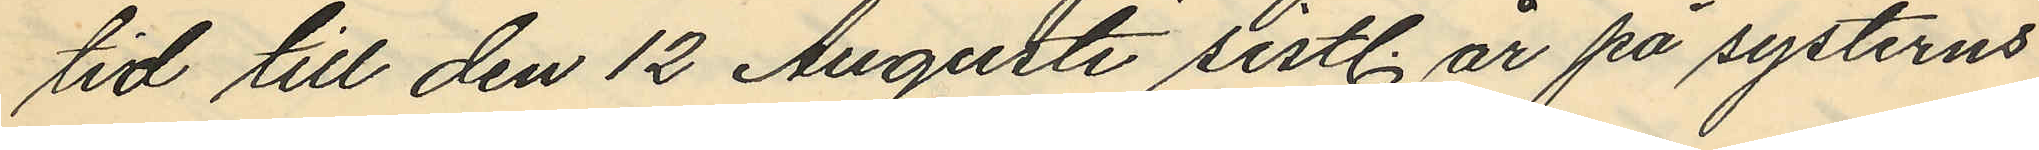tid till den 12 Augusti sistl. år på systerns
